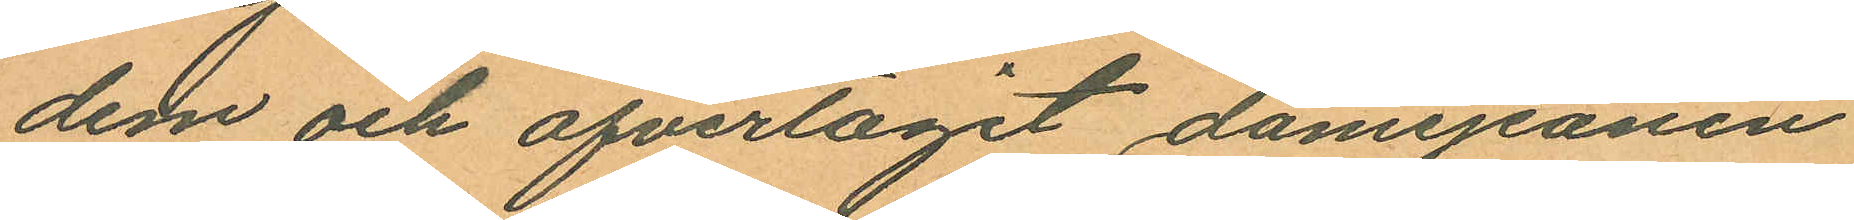dem och öfvertagit damejeanen
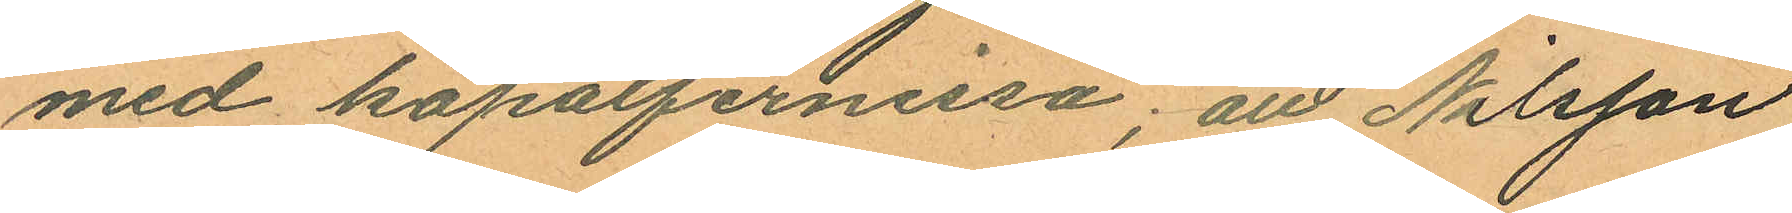med kopalfernissa; att Nilsson
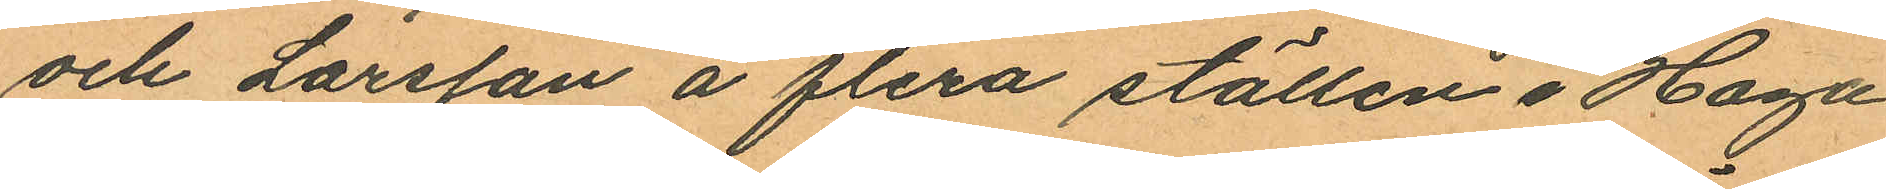och Larsson å flera ställen i Haga
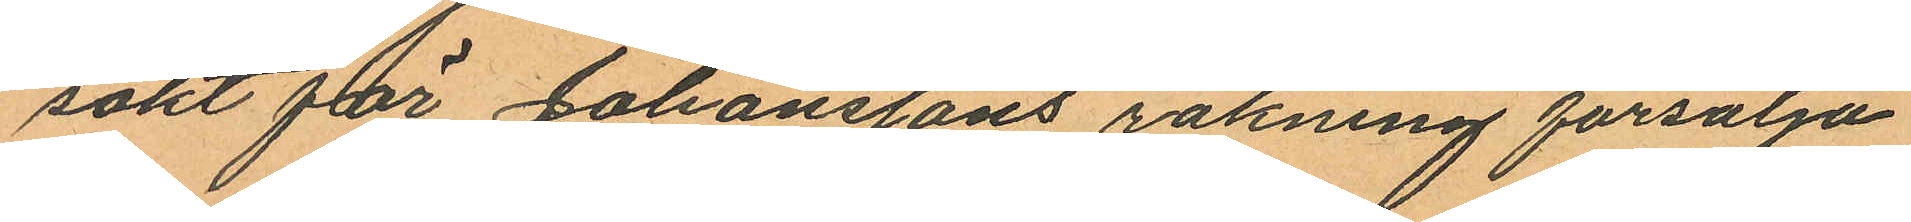sökt för Johanssons räkning försälja
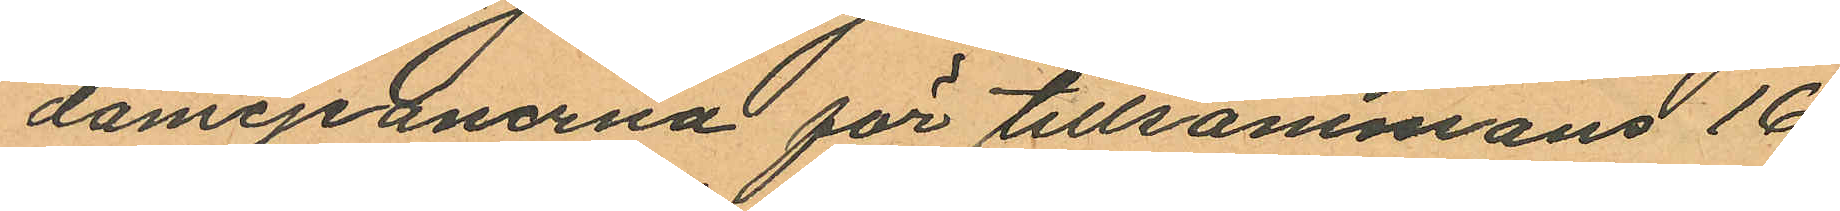damejeanerna för tillsammans 16
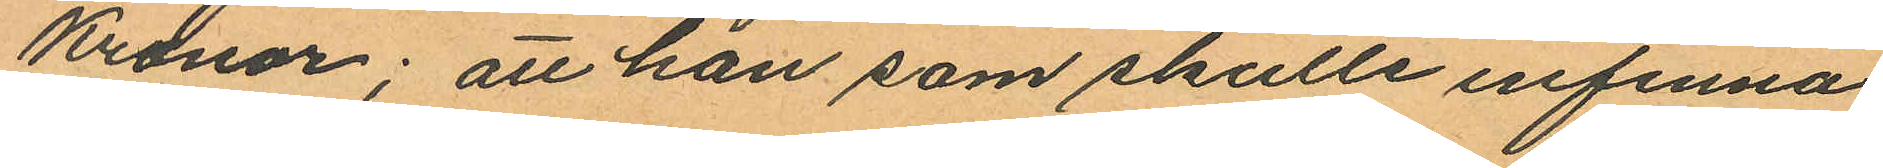Kronor; att han som skulle infinna
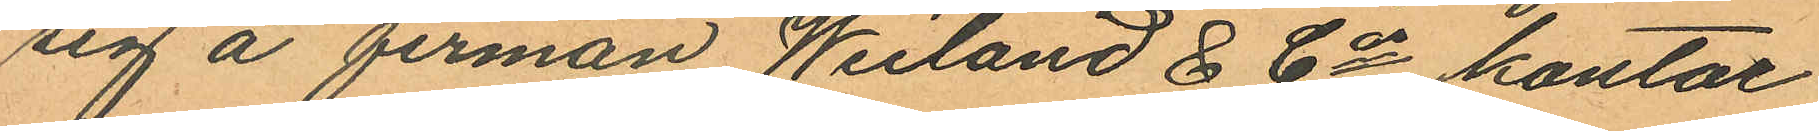sig å firman Weiland & Cis kontor
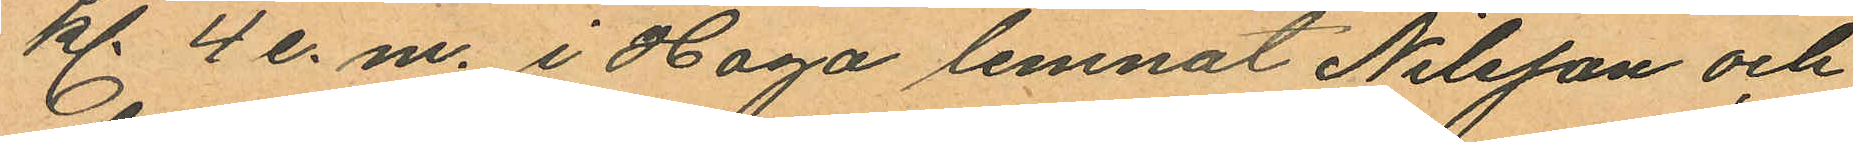kl. 4 e. m. i Haga lemnat Nilsson och
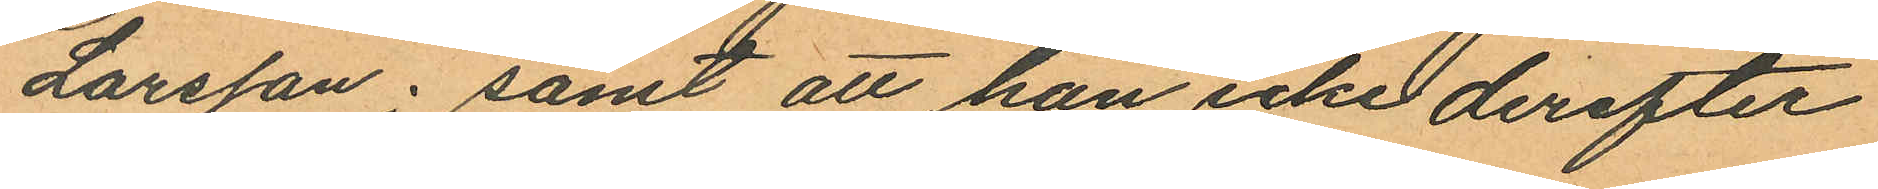Larsson; samt att han icke derefter
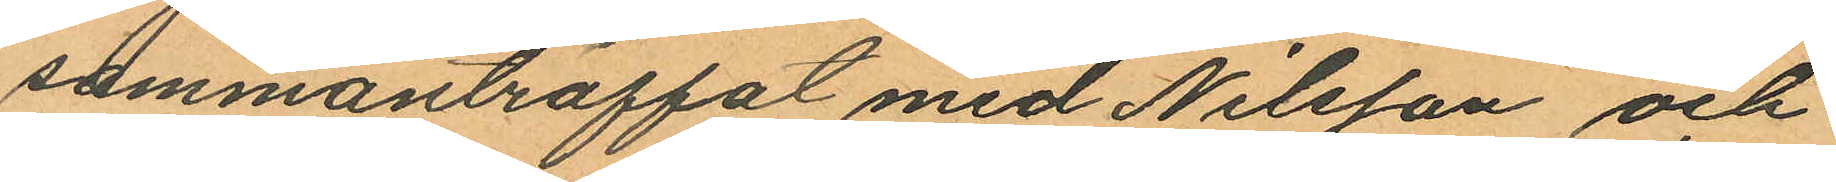sammanträffat med Nilsson och
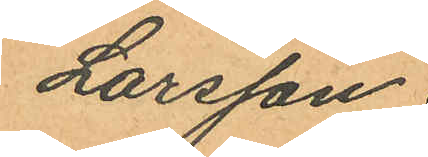Larsson.
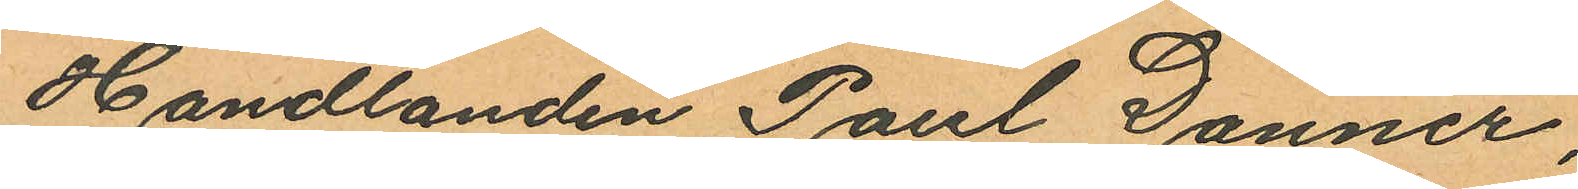Handlanden Paul Danner,
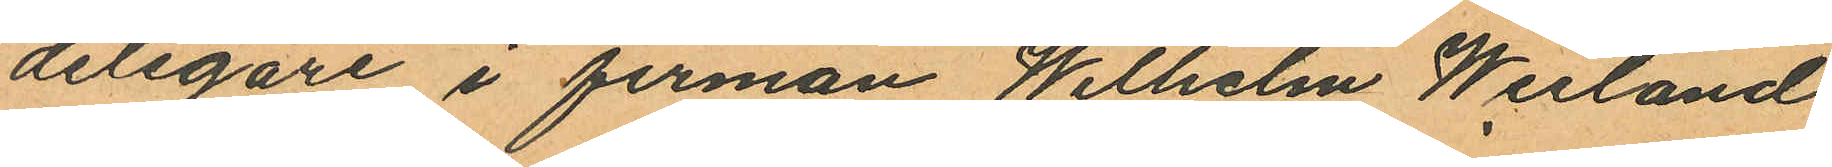delegare i firman Wilhelm Weiland
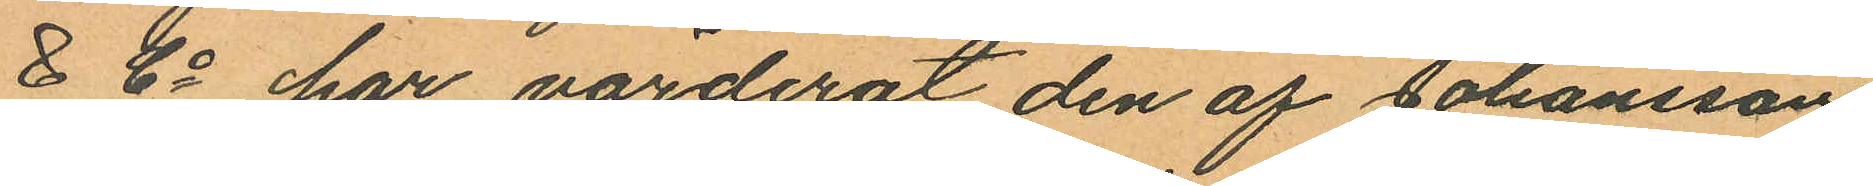& Co har värderat den af Johansson
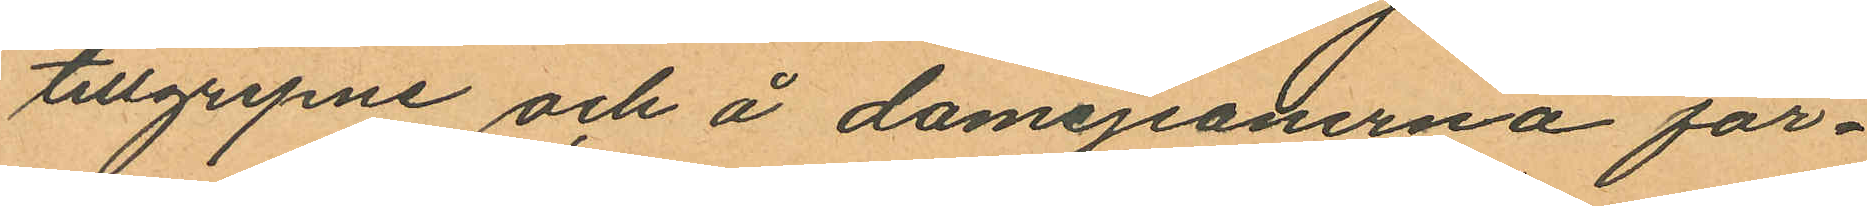tillgripne och å damejeanerna för¬
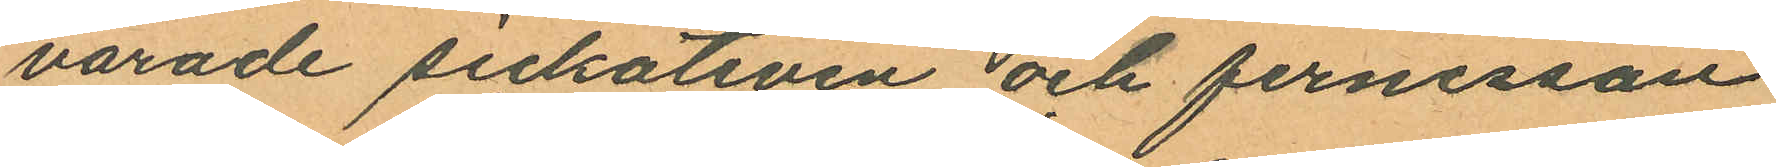varade sickativen och fernissan
